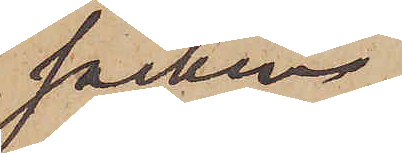socken.
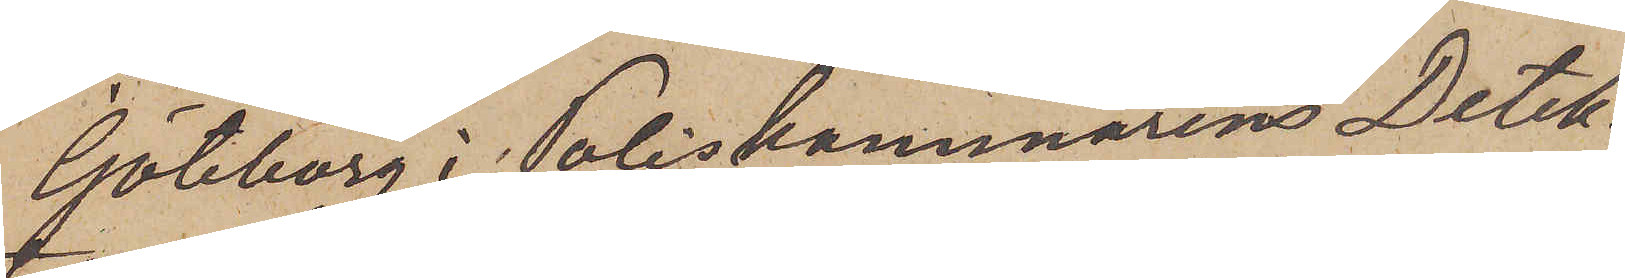Göteborg i Poliskammarens Detek¬
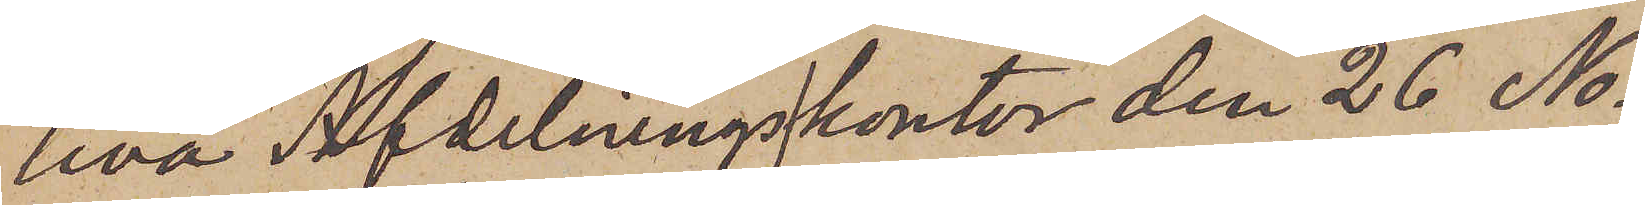tiva Afdelningskontor den 26 No¬
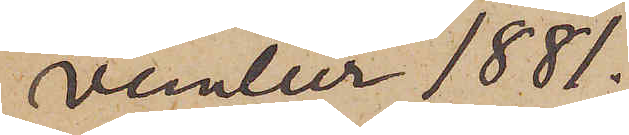vember 1881.
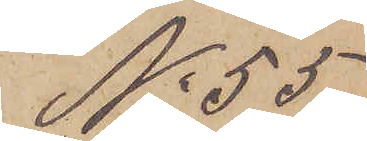No 55
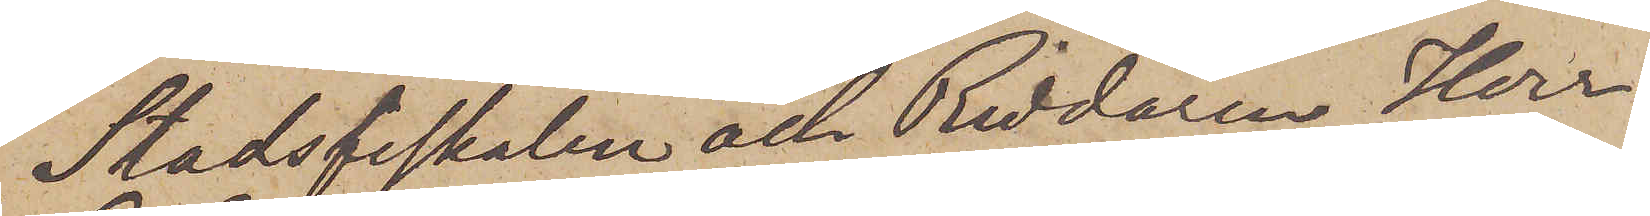Stadsfiskalen och Riddaren Herr
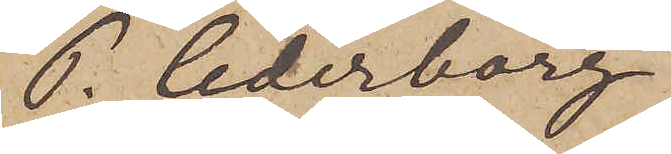P Cederborg.
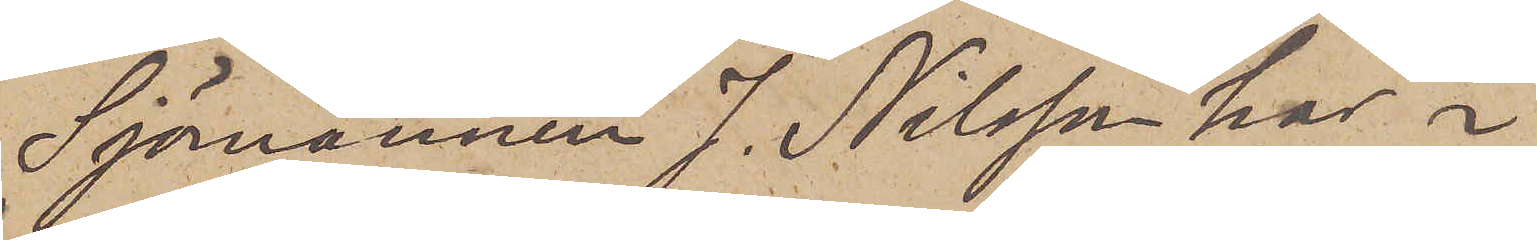Sjömannen J. Nilsson har i
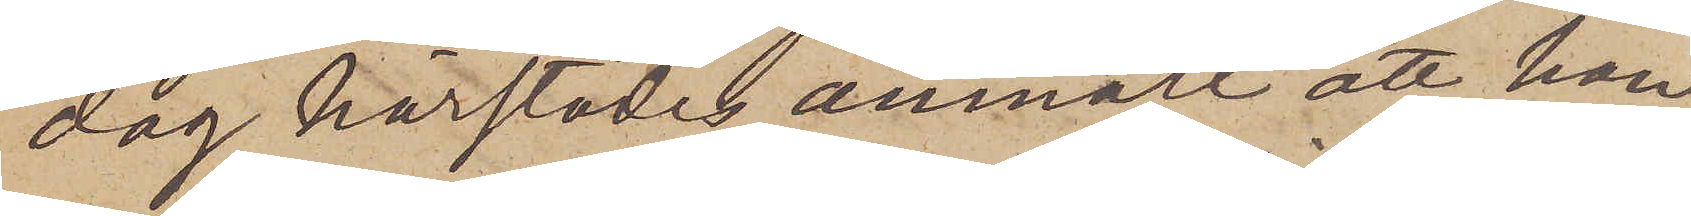dag härstädes anmält att han
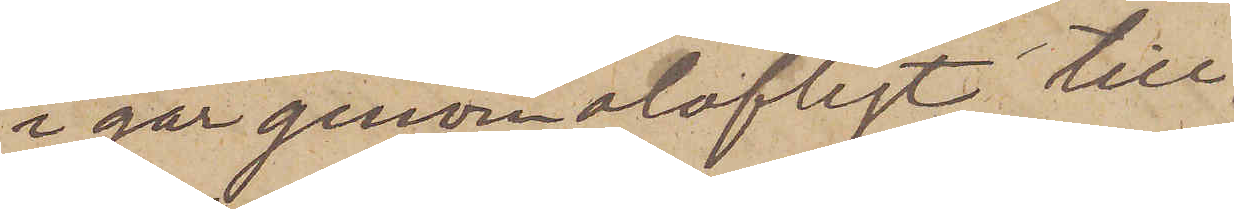i går genom olofligt till¬
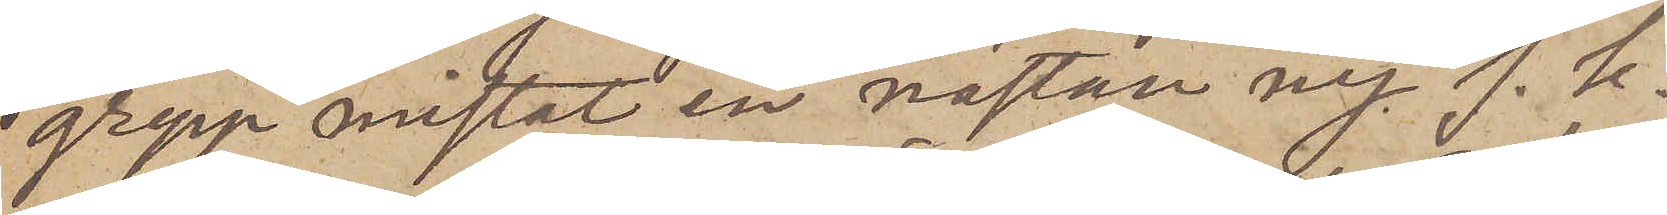grepp mistat en nästan ny s. k.
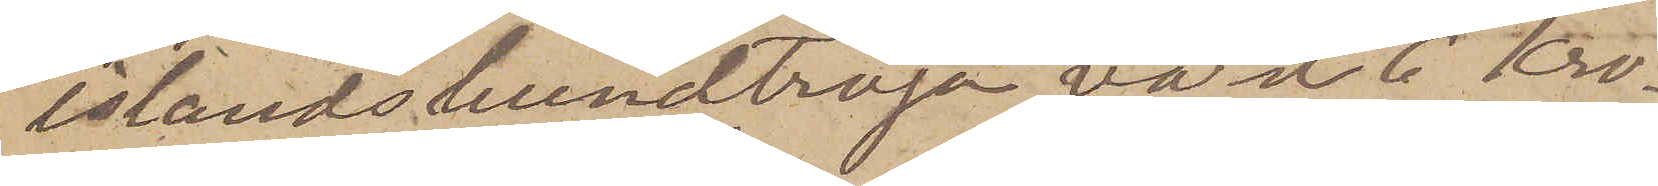islandshundtröja, värd 6 Kro¬
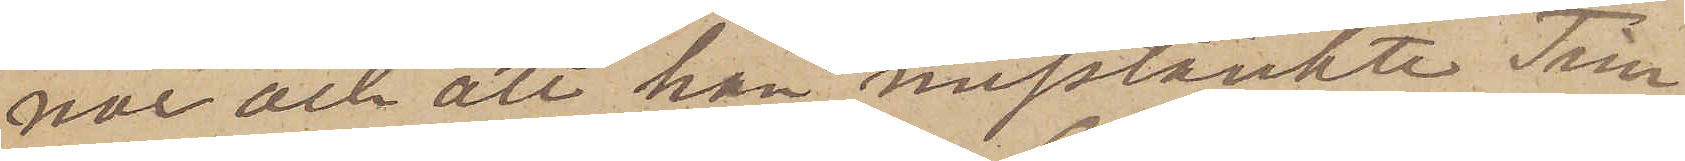nor och att han misstänkte Tim¬
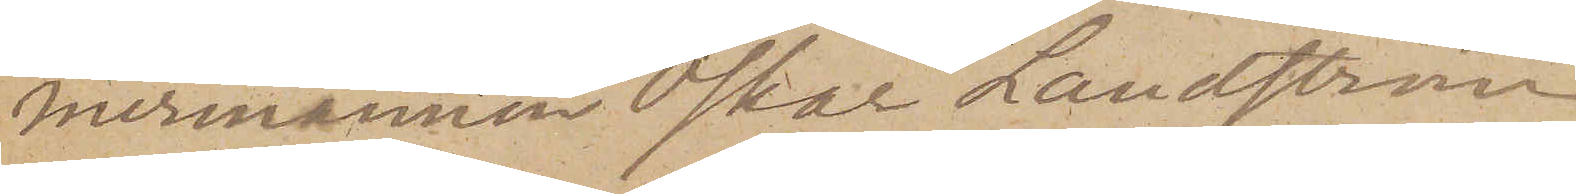mermannen Oskar Landström
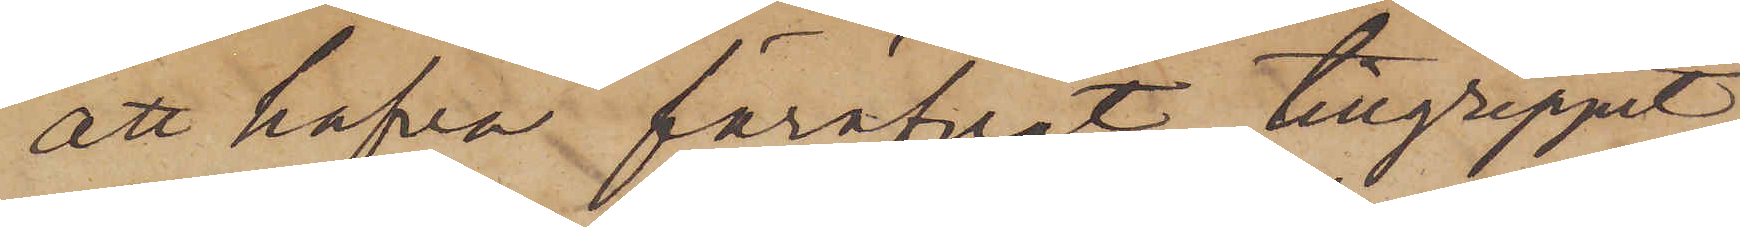att hafva föröfvat tillgreppet.
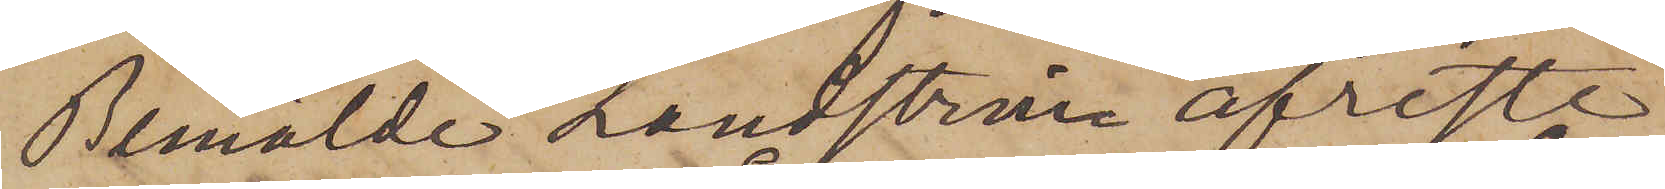Bemälde Landström afreste
